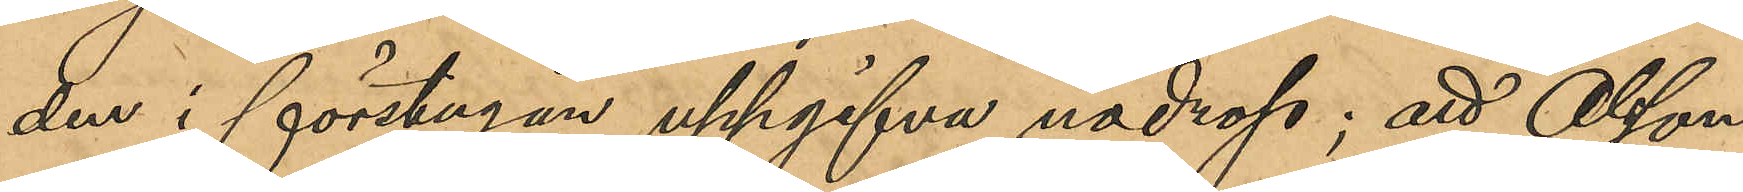den i förstugan uppgifva nödrop; att Olsson
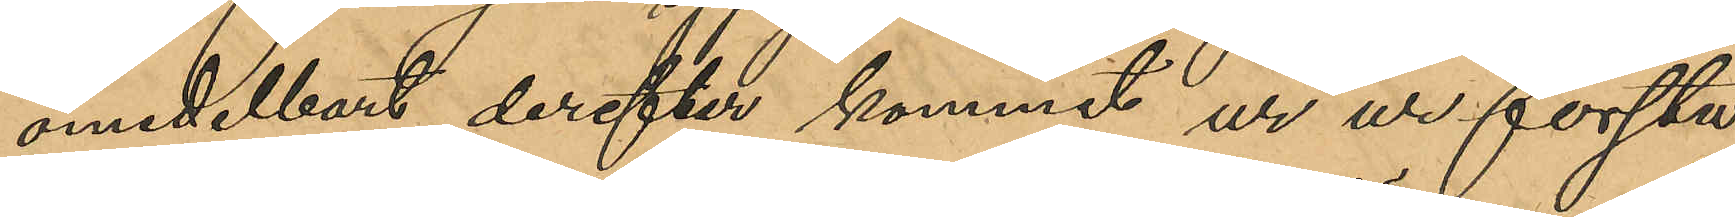omedelbart derefter kommit ur ur förstu¬
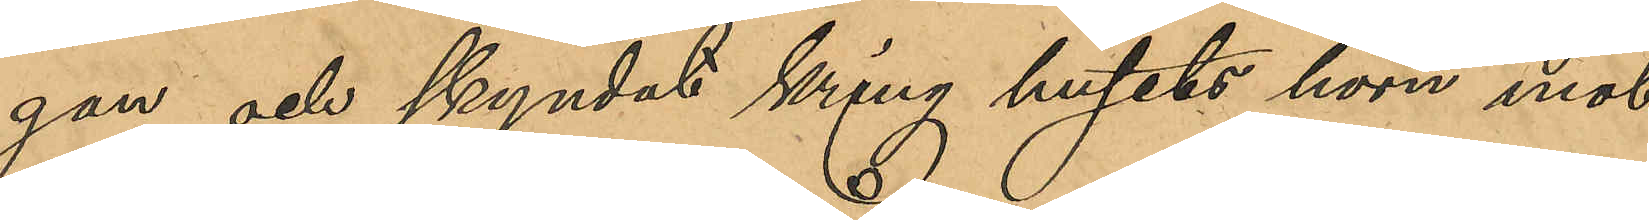gan och skyndat kring husets hörn mot
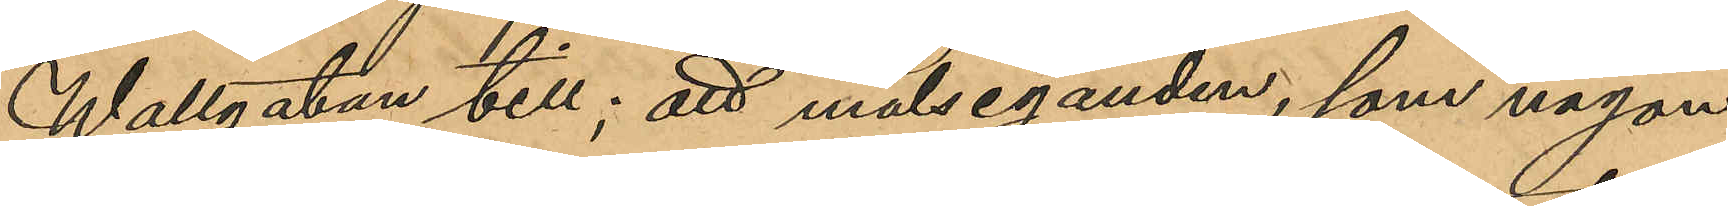Wallgatan till; att målseganden, som någon
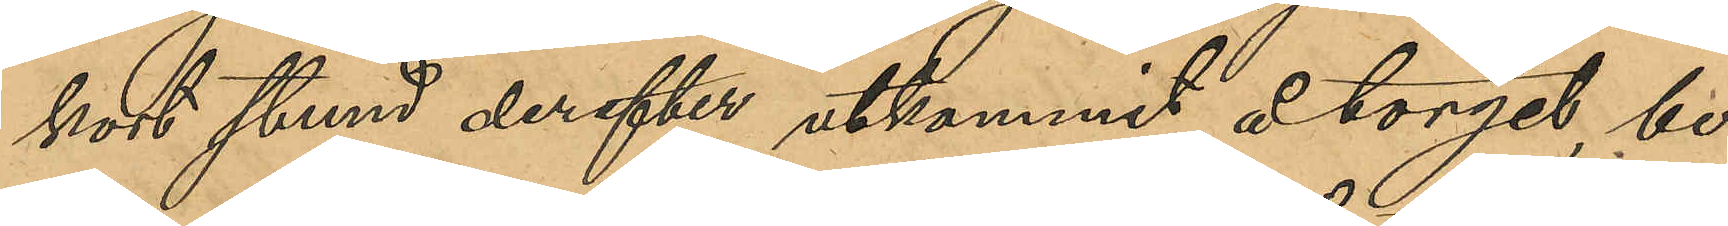kort stund derefter utkommit å torget, be¬
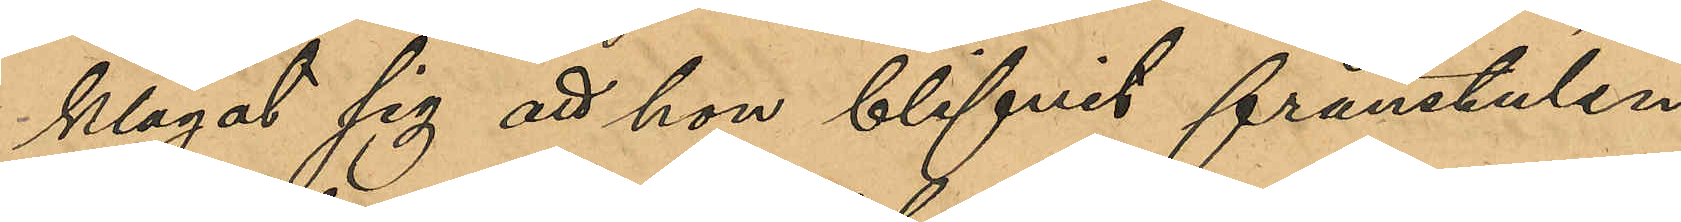klagat sig att hon blifvit frånstulen
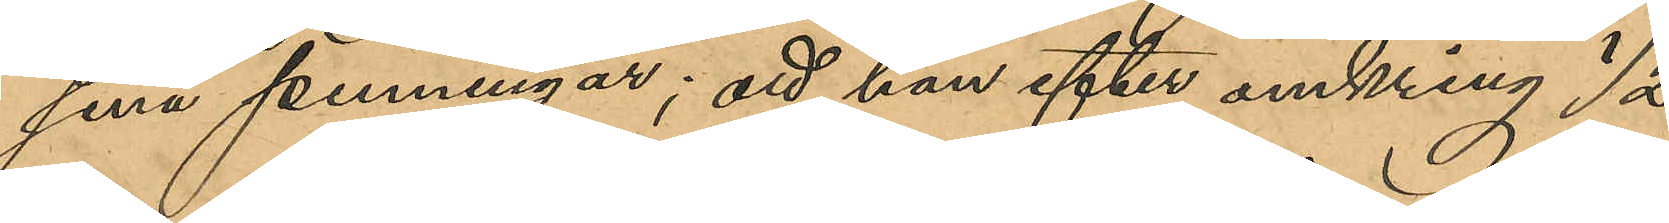sina penningar; att han efter omkring ½ 
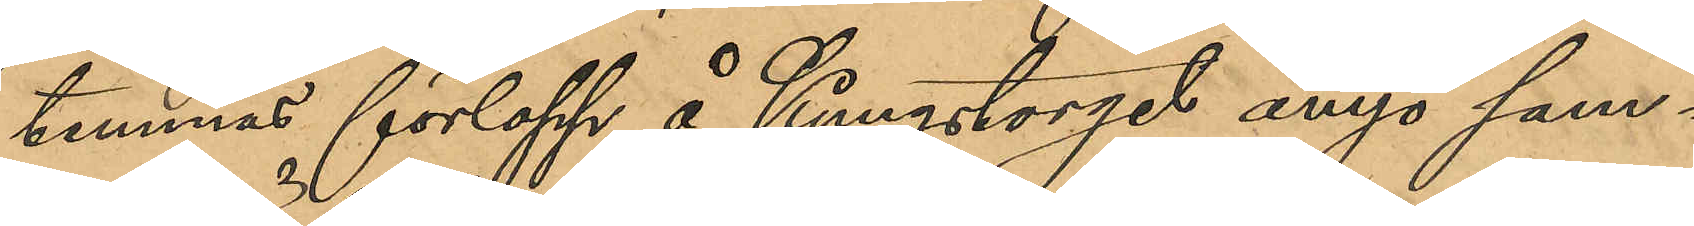timmas förlopp å Kungstorget ånyo sam¬
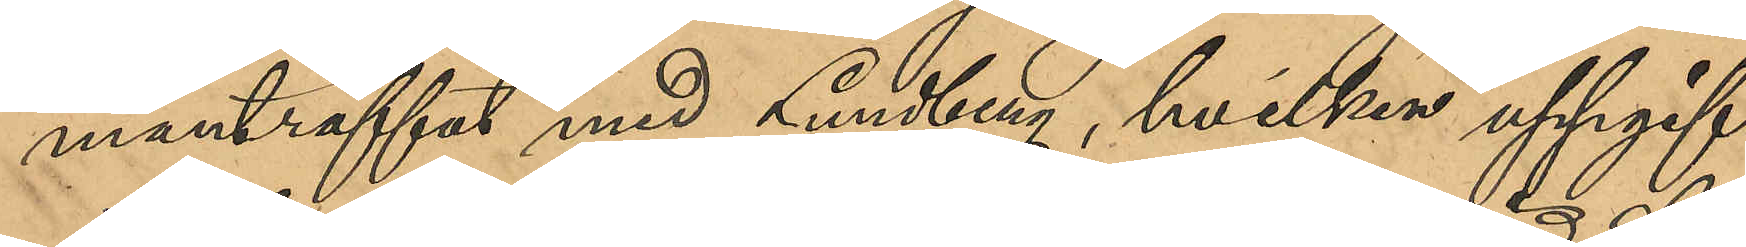manträffat med Lundberg, hvilken uppgif¬
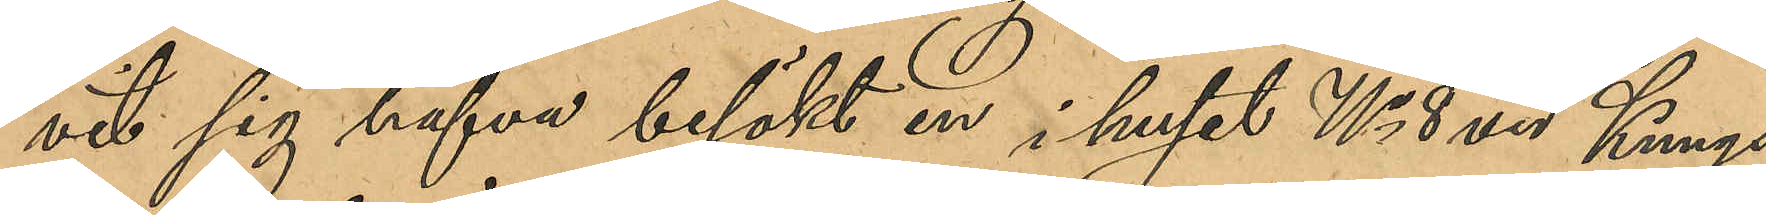vit sig hafva besökt en i huset No 8 vid Kungs¬
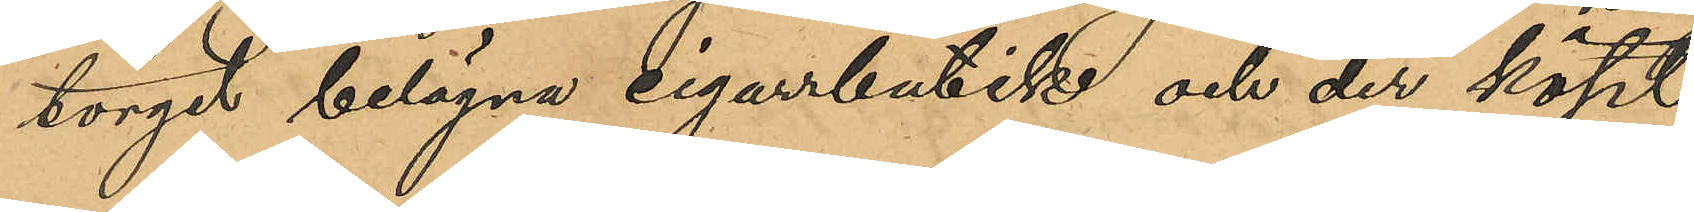torget belägen cigarrbutik och der köpt
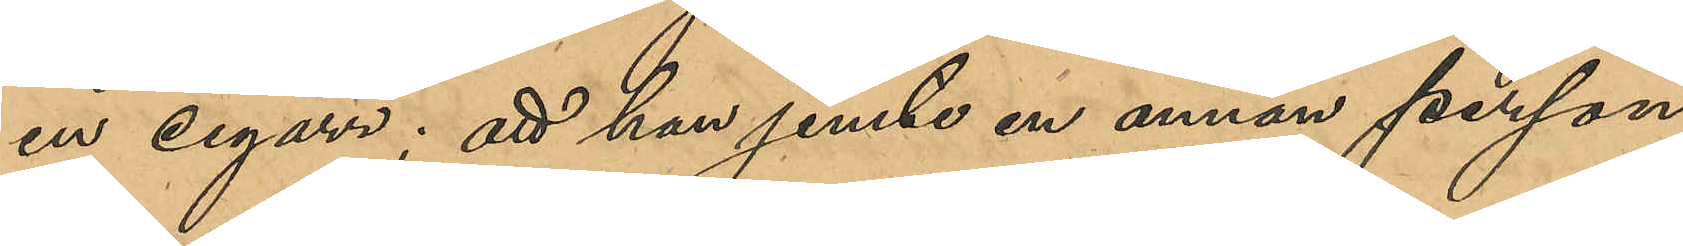en cigarr; att han jemte en annan person
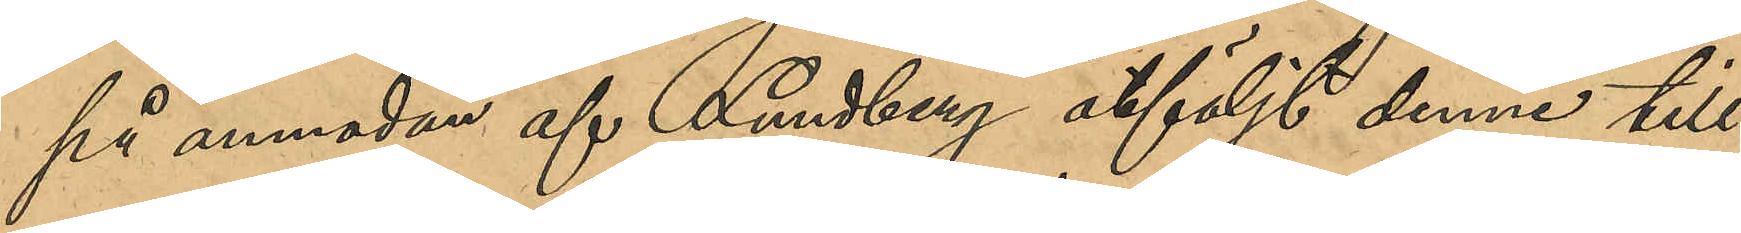på anmodan af Lundberg åtföljt denne till
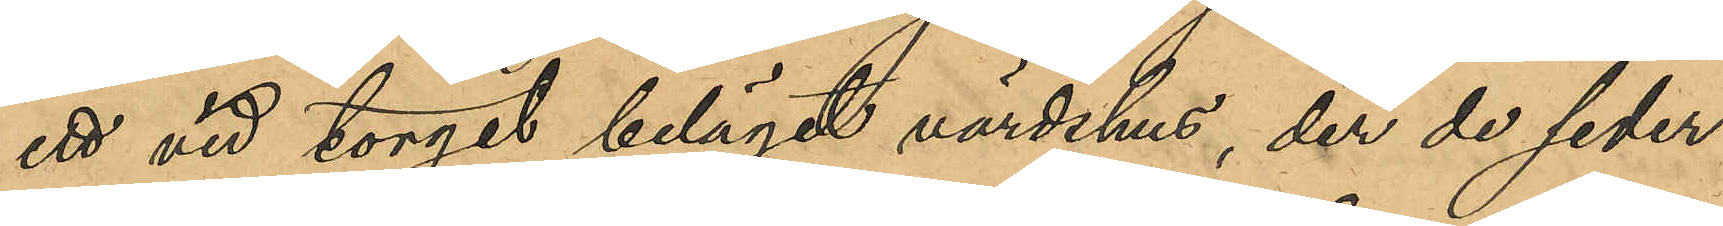ett vid torget beläget värdshus, der de seder¬
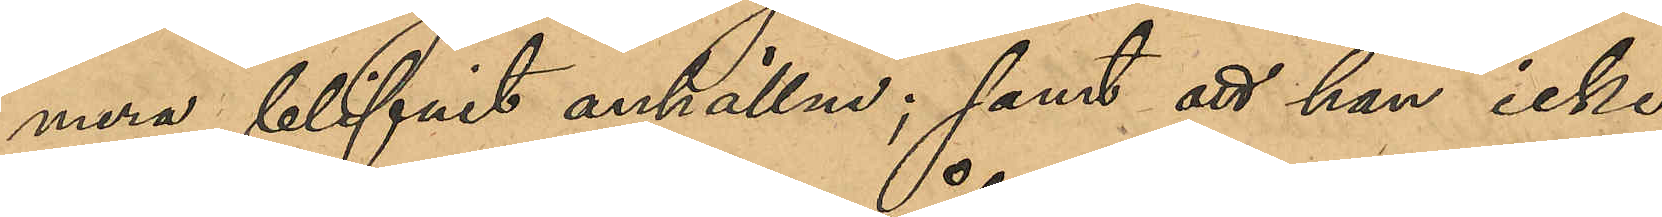mera blifvit anhållne; samt att han icke
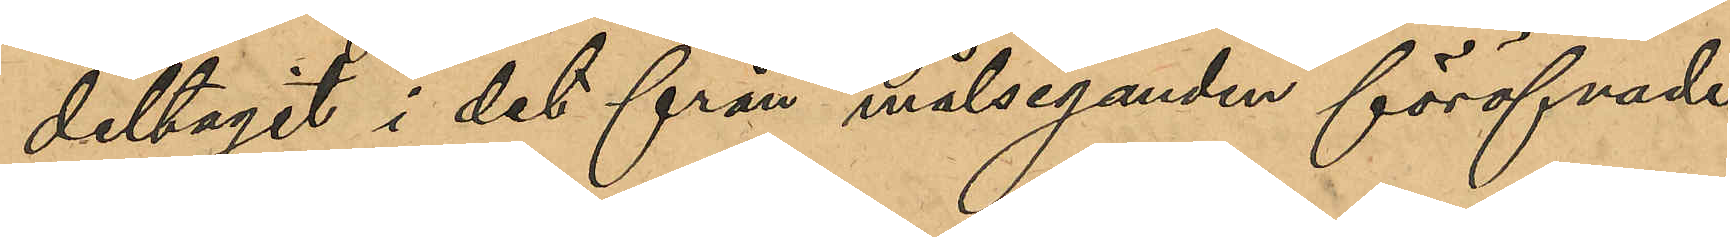deltagit i det från målseganden föröfvade
